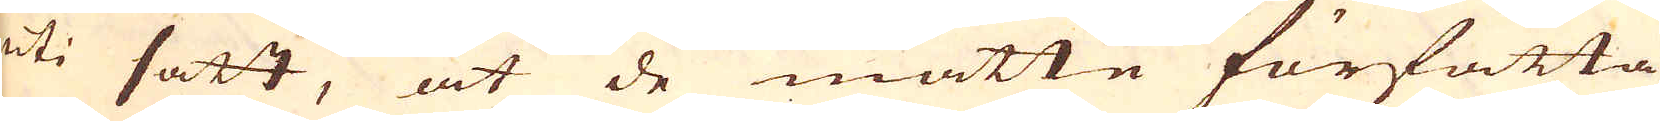uti satt, at de måtte författa
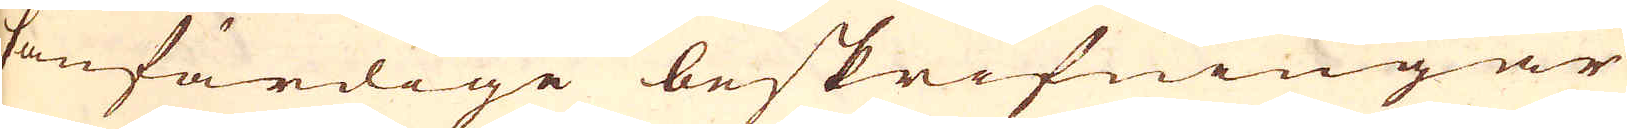sanfärdige beskrifningar
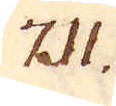711.
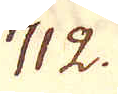712.
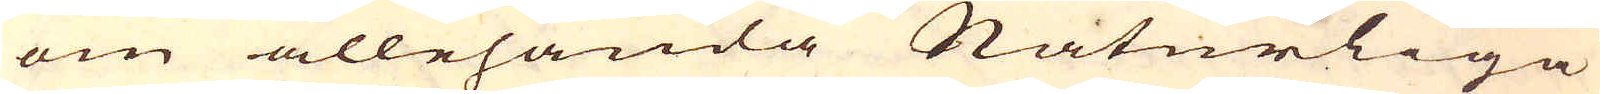om allehanda Naturliga
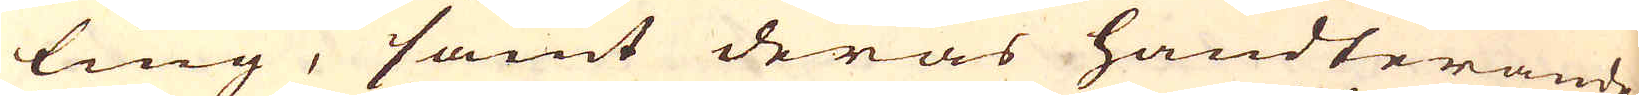ting, samt deras handterande,
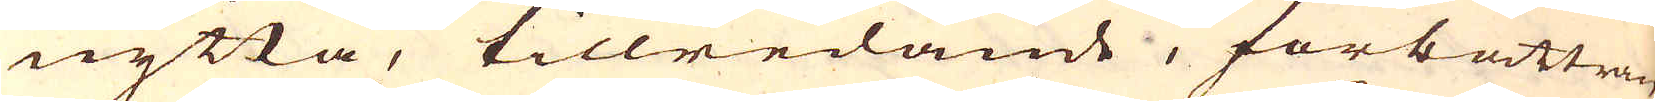nytta, tillredande, förbättran-
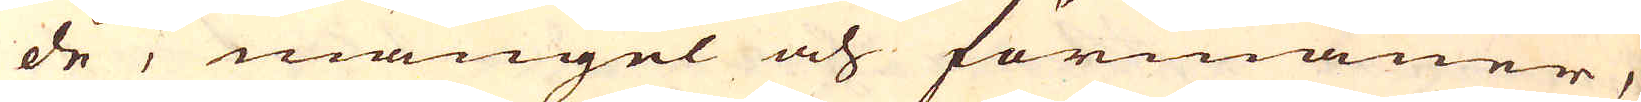de, mangel och förmåner,
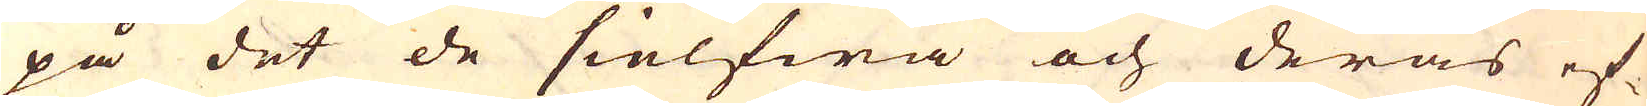på det de sielfwa och deras ef-
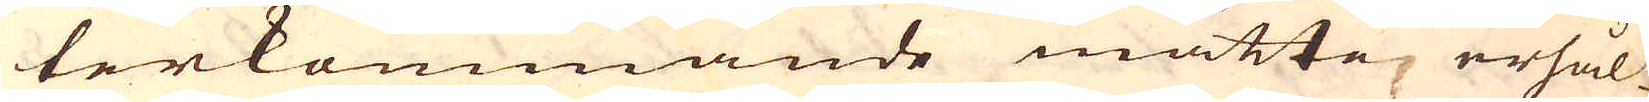terkommande måtte erhål-
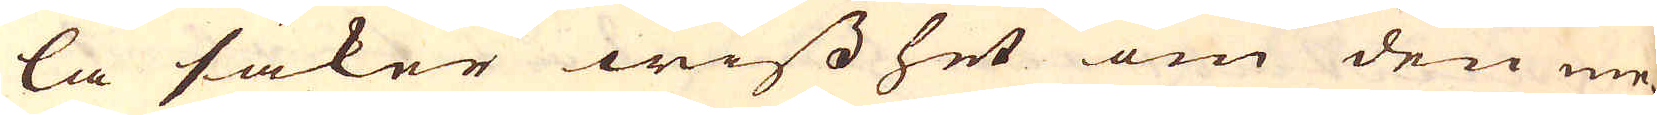la säker wisshet om den me-
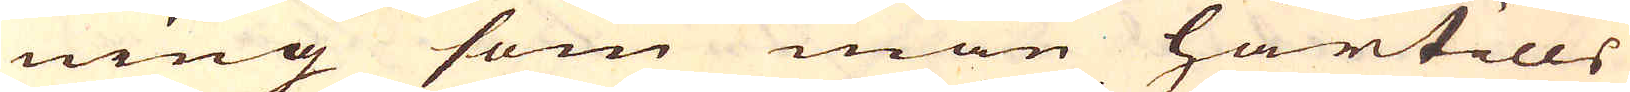ning som man härtills
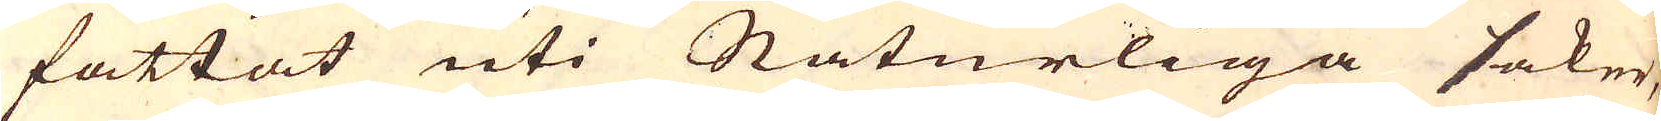fattat uti Naturliga saker,
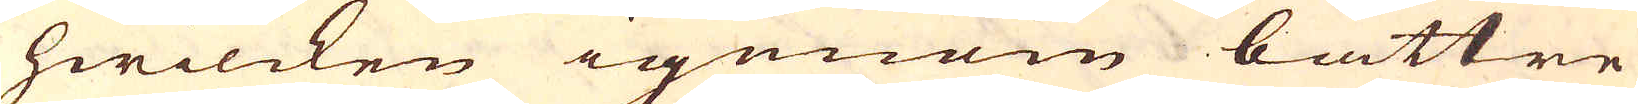hwilcken igenom bättre
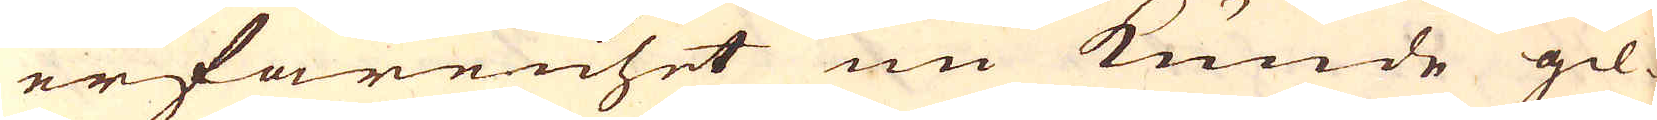erfarenhet nu kunde gil-
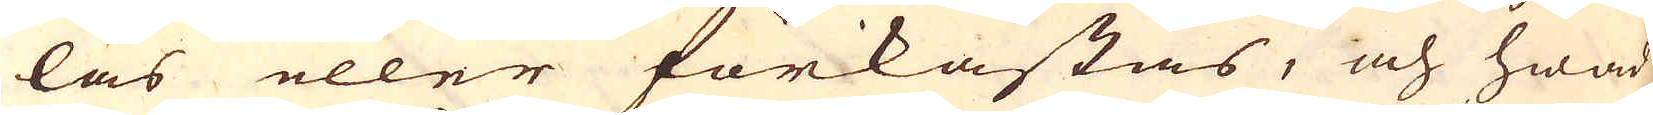las eller förkastas, och hwad
